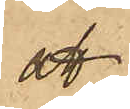att
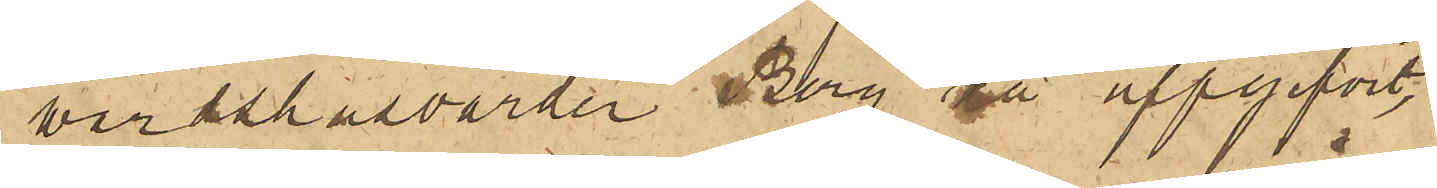värdshusvärden Berg då uppgifvit,
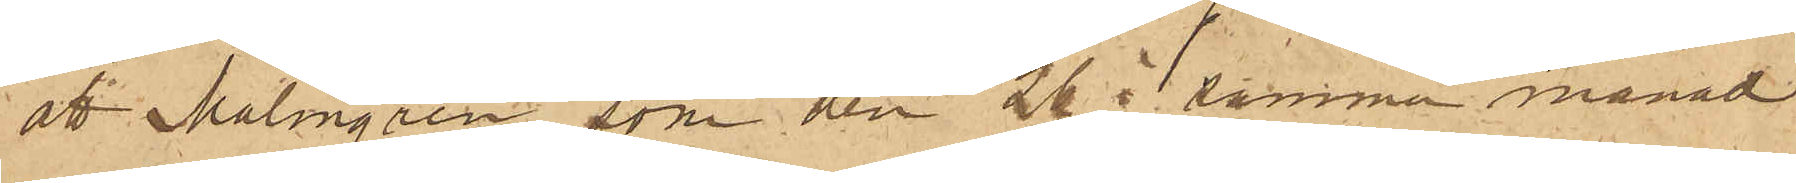att Malmgren, som den 26 i samma månad
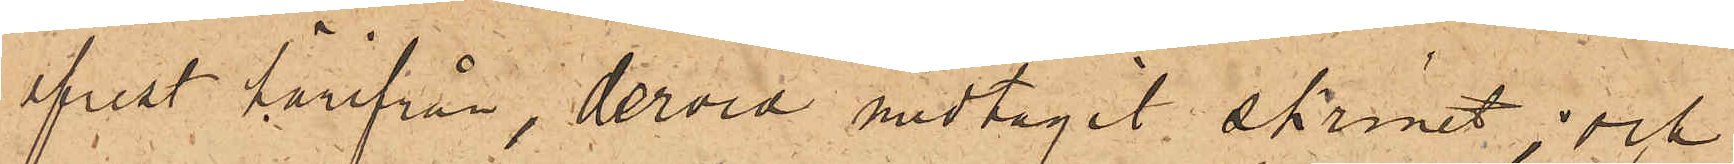afrest härifrån, dervid medtagit skrinet; och
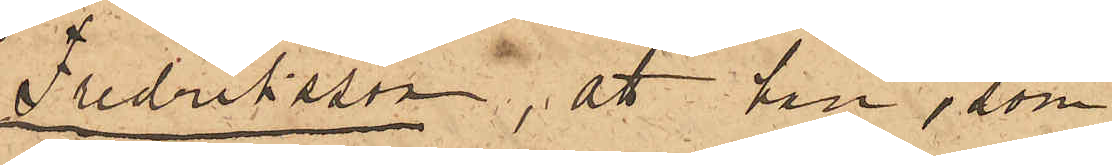Fredriksson, att han, som
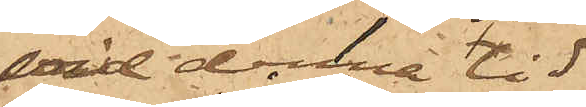vid denna tid
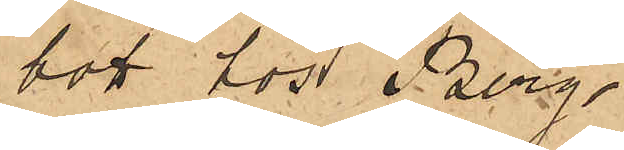 bott hos Berg,
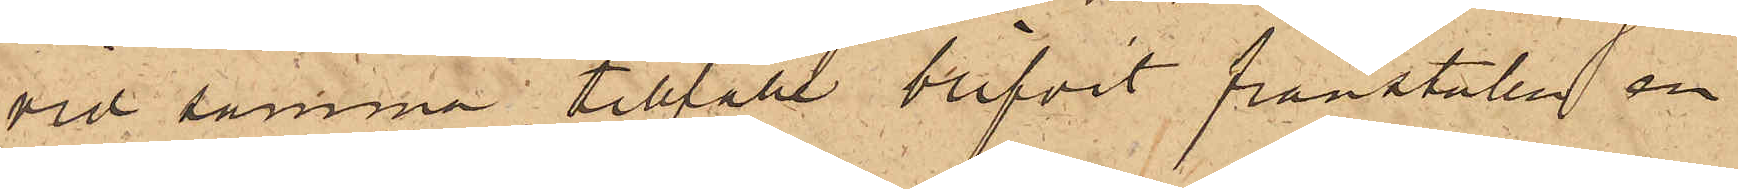vid samma tillfälle blifvit frånstulen en
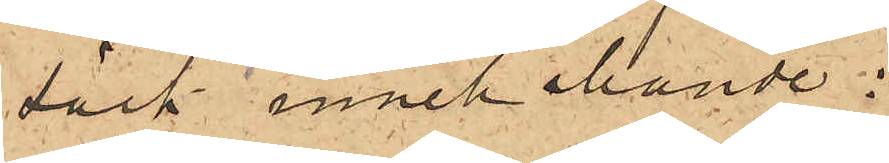säck innehållande:
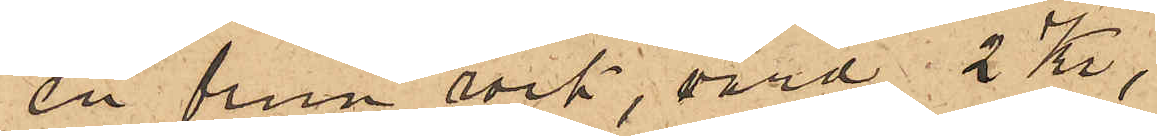en brun rock, värd 2 Kr;
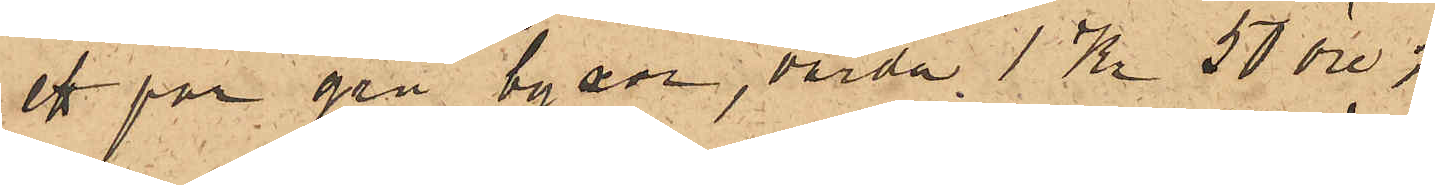ett par grå byxor, värda 1 Kr 50 öre;
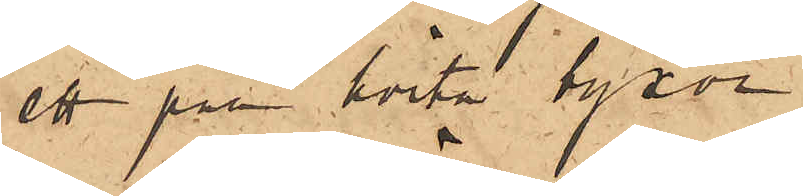ett par hvita byxor
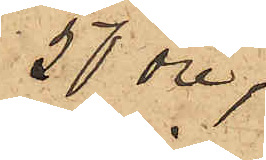50 öre;
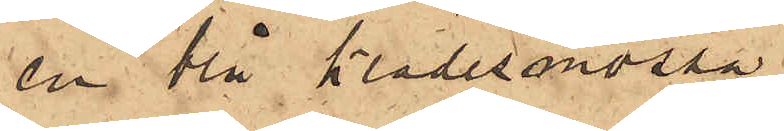en blå klädesmössa
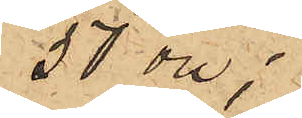50 öre;
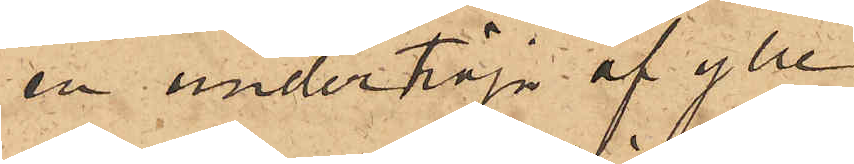en undertröja af ylle
